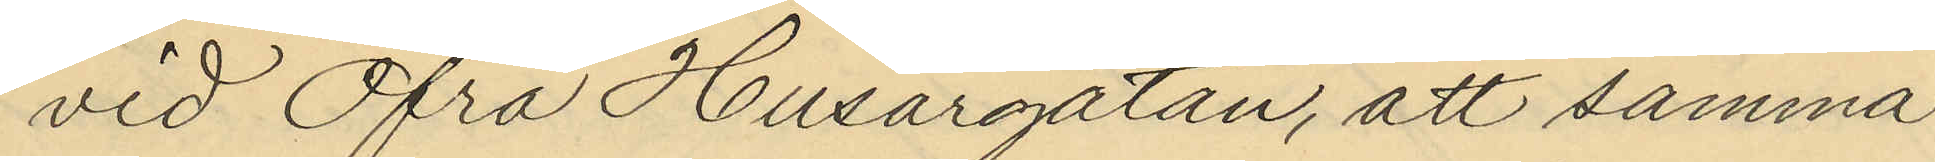vid Öfra Husargatan, att samma
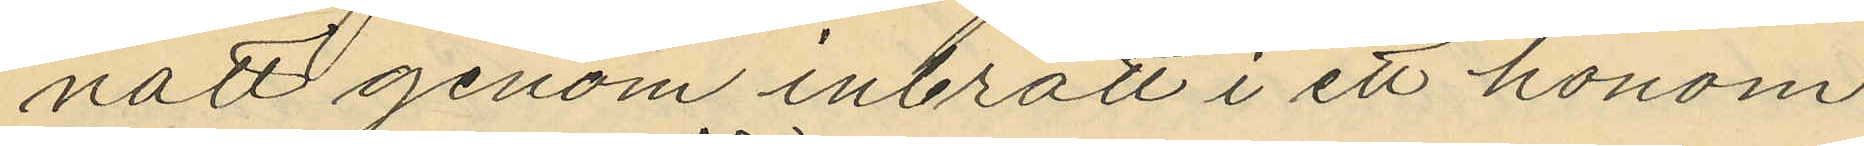natt genom inbrott i ett honom
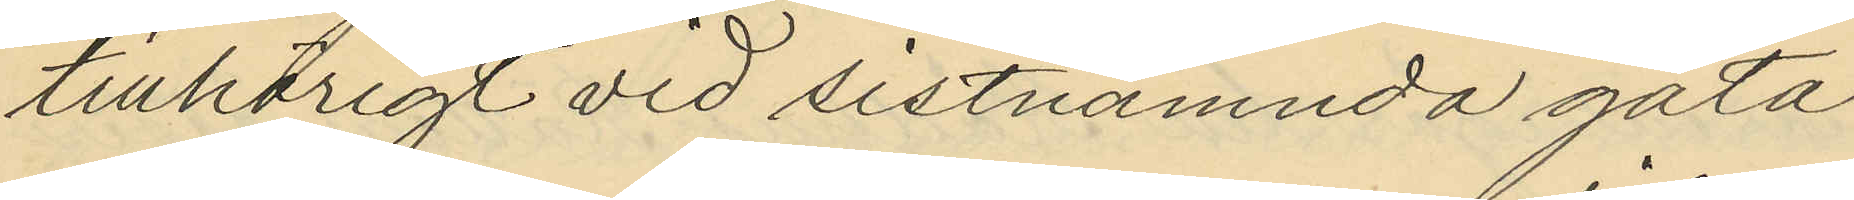tillhörigt vid sistnämnda gata
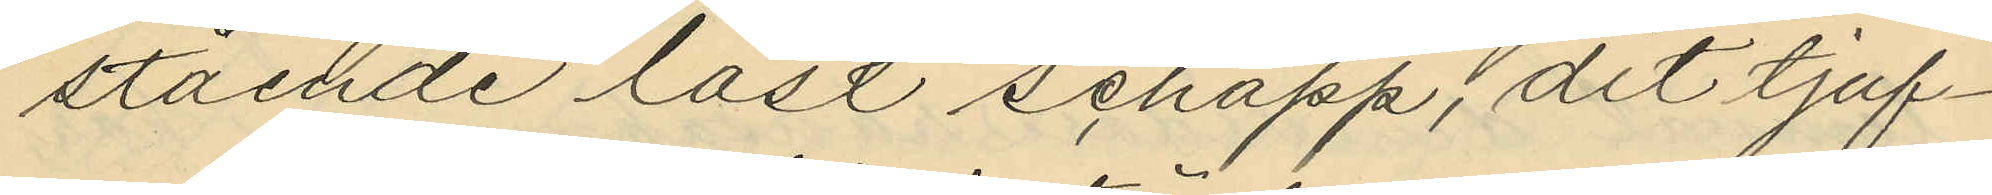stående låst schapp, dit tjuf¬
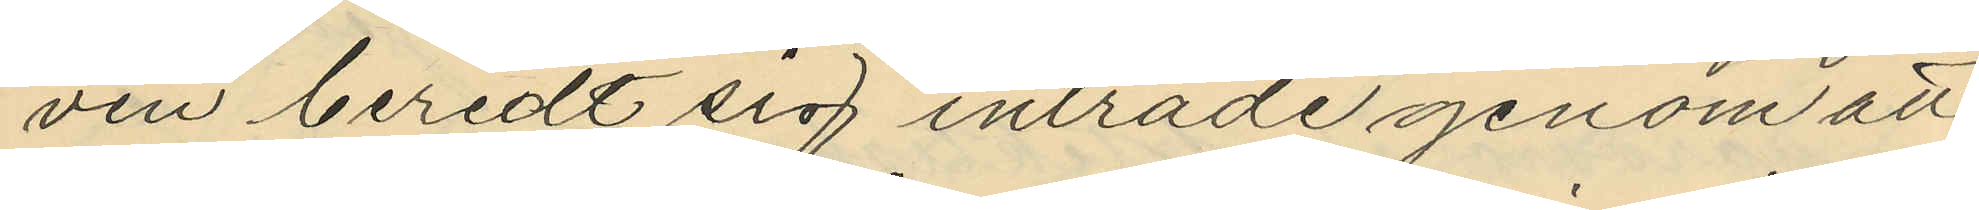ven beredt sig inträde genom att
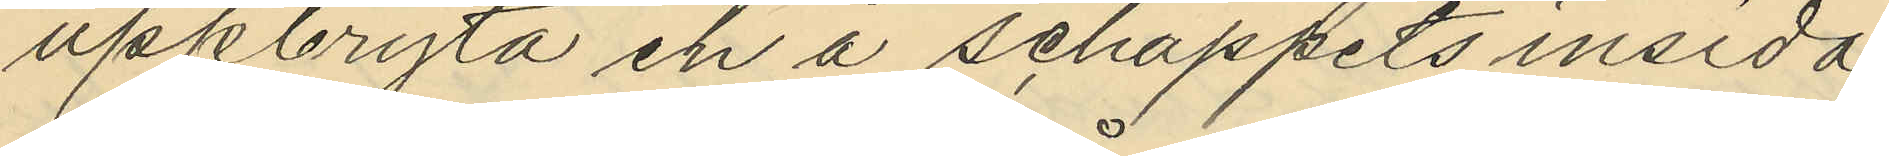upkbryta en å schappets insida
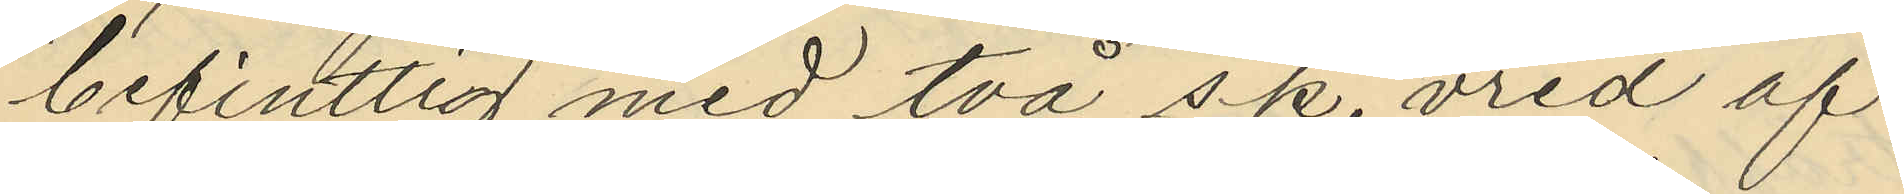befintlig med två s.k. vred af
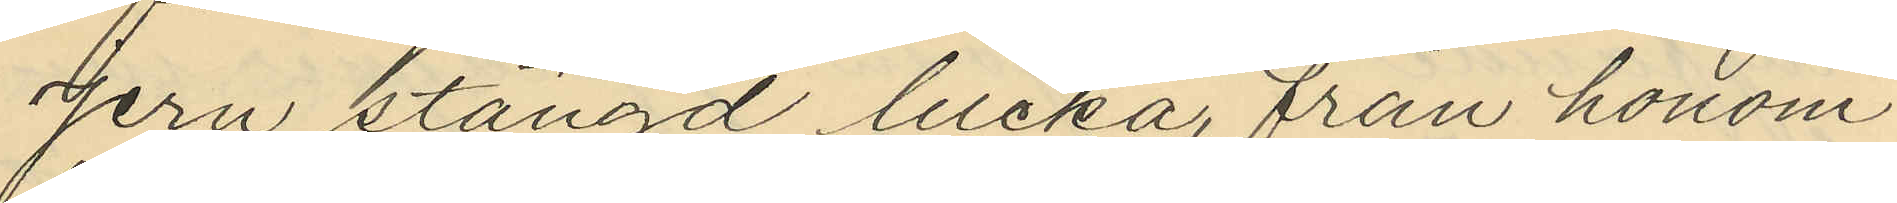jern stängd lucka, från honom
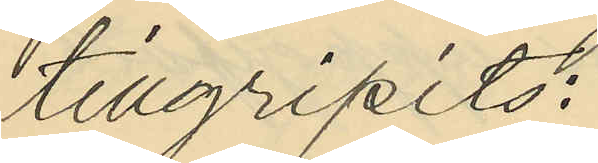tillgripits:
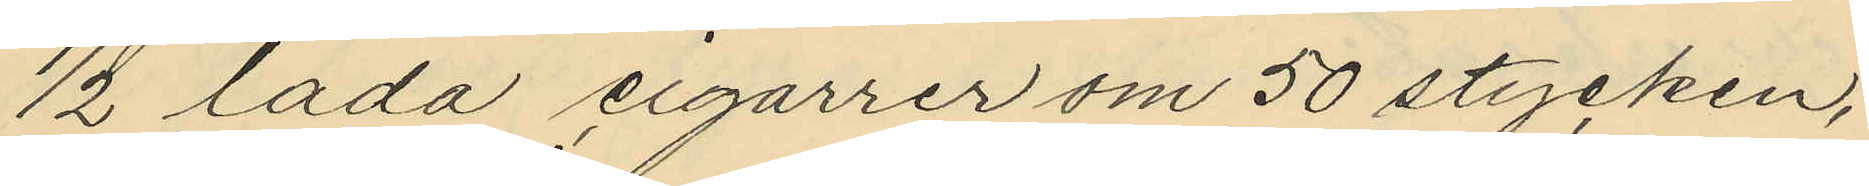1/2 låda cigarrer om 50 stycken,
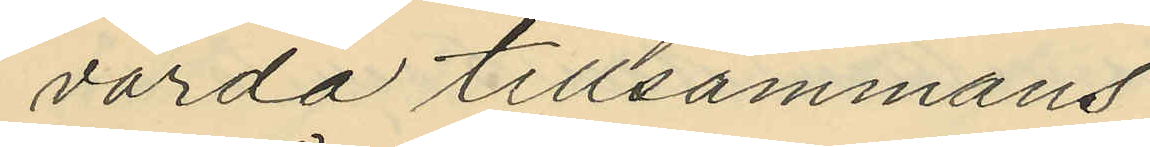värda tillsammans
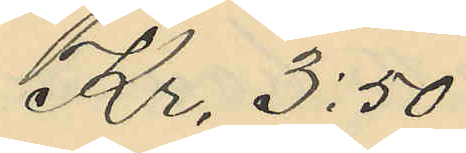Kr. 3:50
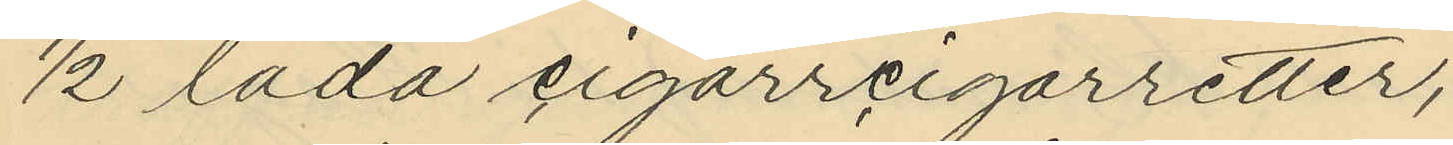1/2 låda cigarrcigarretter;
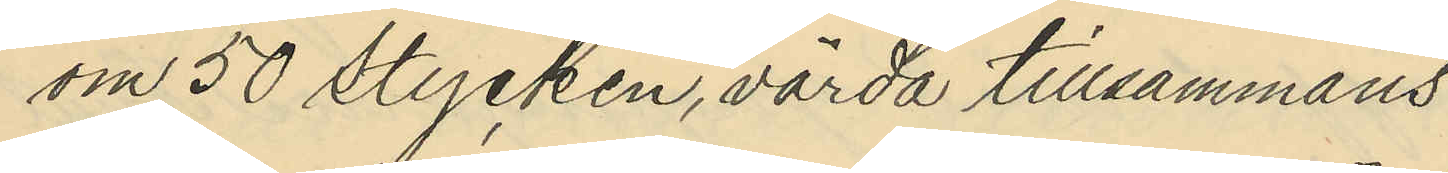om 50 stycken, värda tillsammans
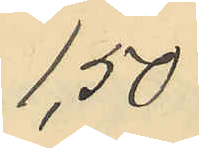1,50
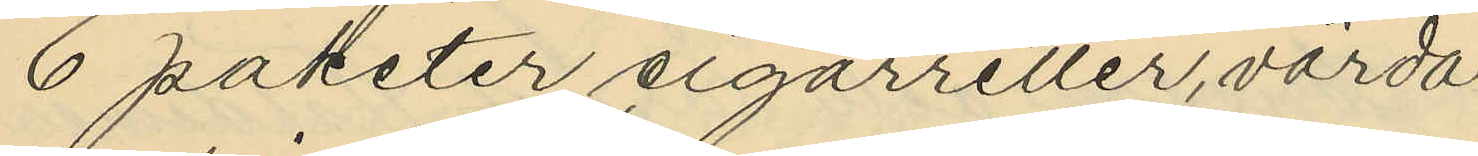6 paketer cigarretter, värda
